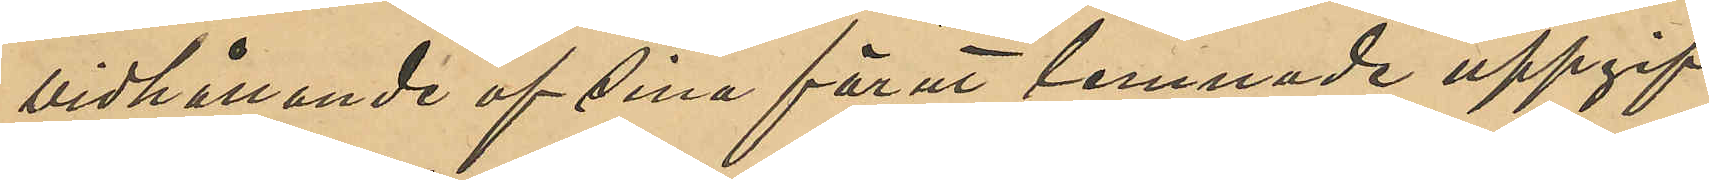vidhållande af sina förut lemnade uppgif¬
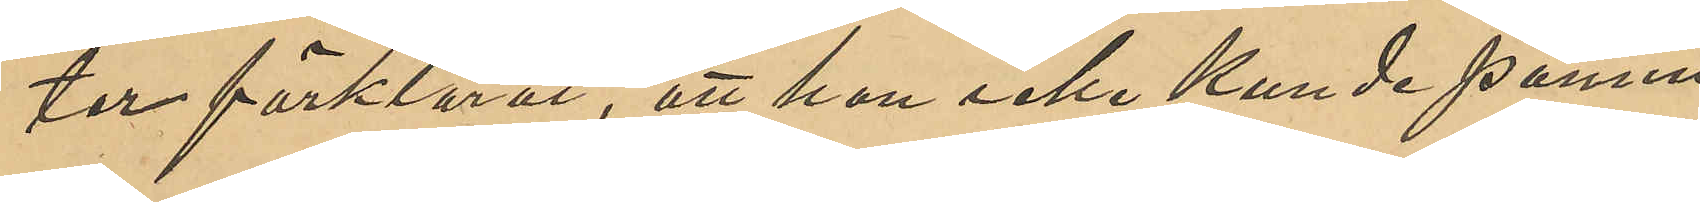ter förklarat, att han icke kunde påmin¬
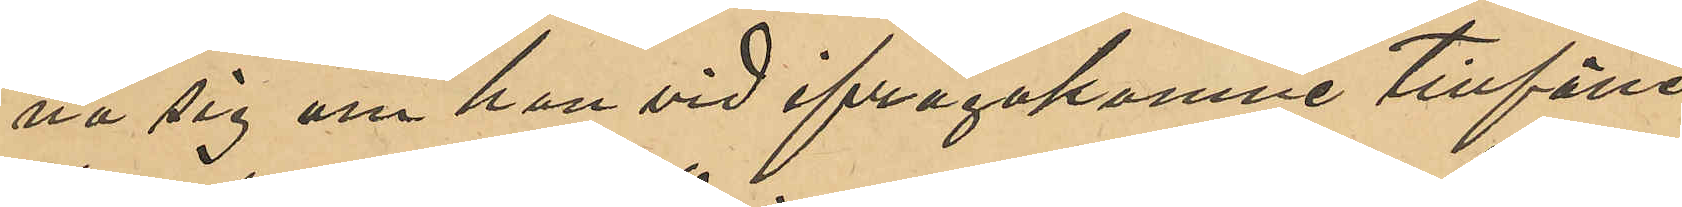na sig om han vid ifrågakomne tillfälle
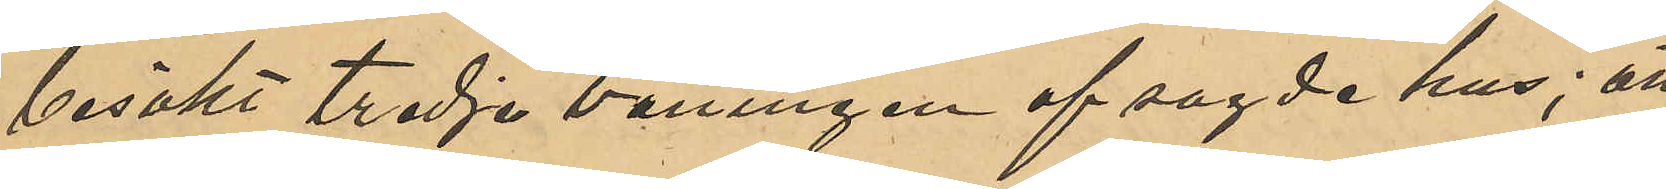besökt tredje våningen af sagde hus; att
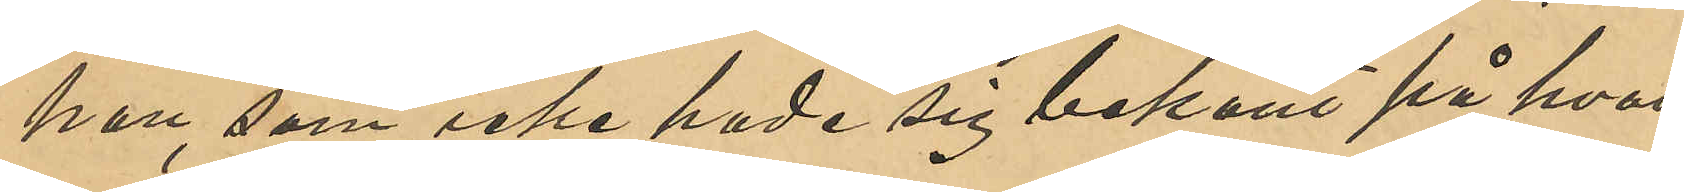han, som icke hade sig bekant på hvad
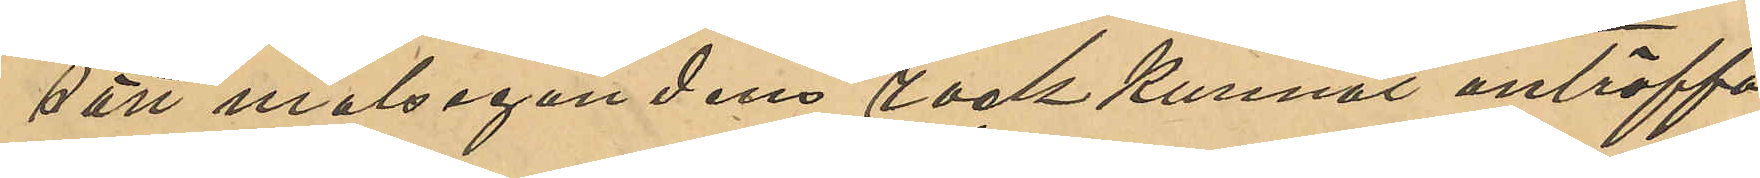sätt målsegandens rock kunnat anträffas
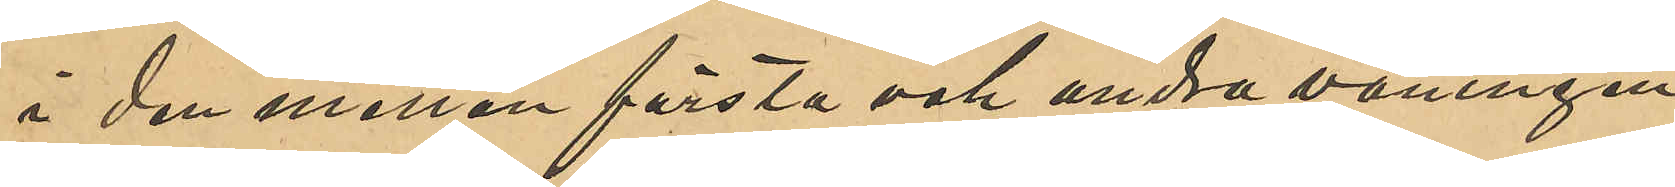å den emellan första och andra våningen
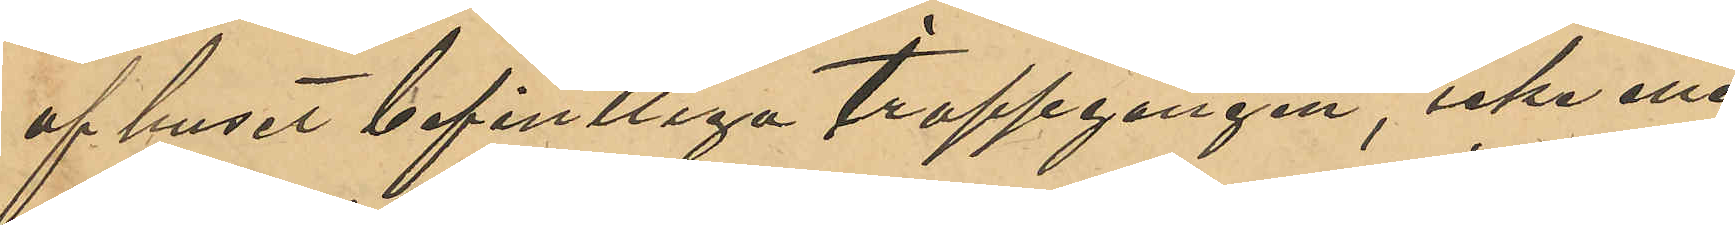af huset befintliga trappgången, icke eller
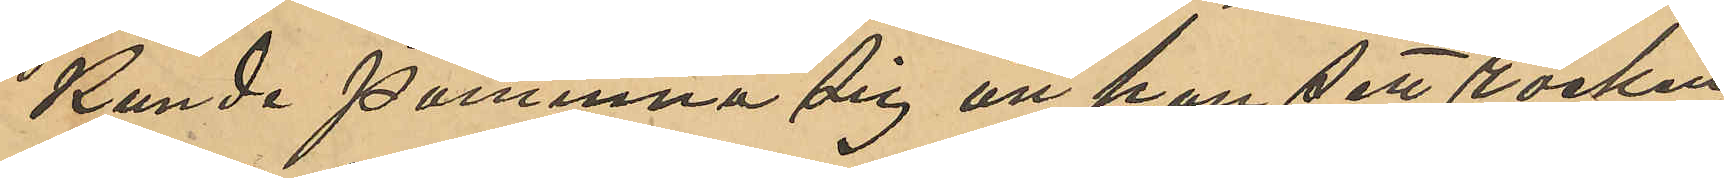kunde påminna sig att han sett rocken
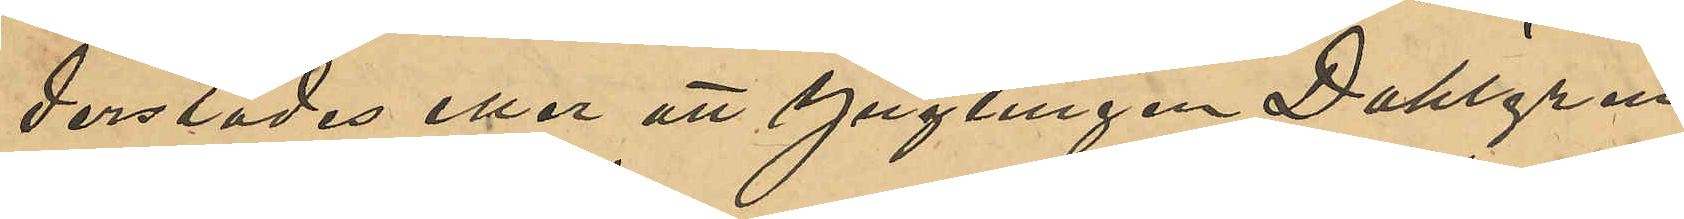derstädes eller att Ynglingen Dahlgren
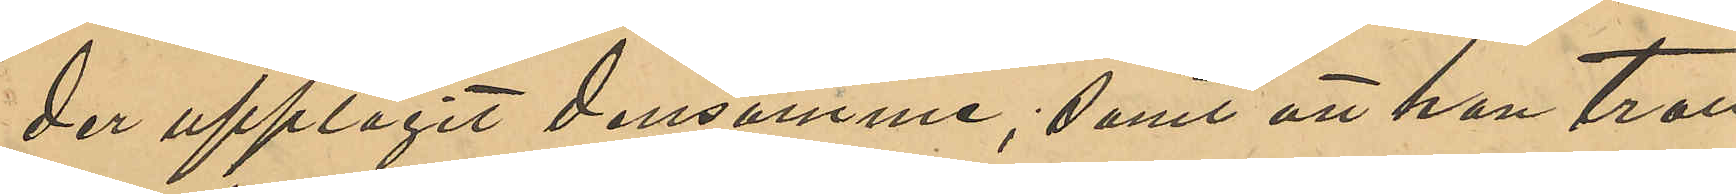der upptagit densamme; samt att han tror
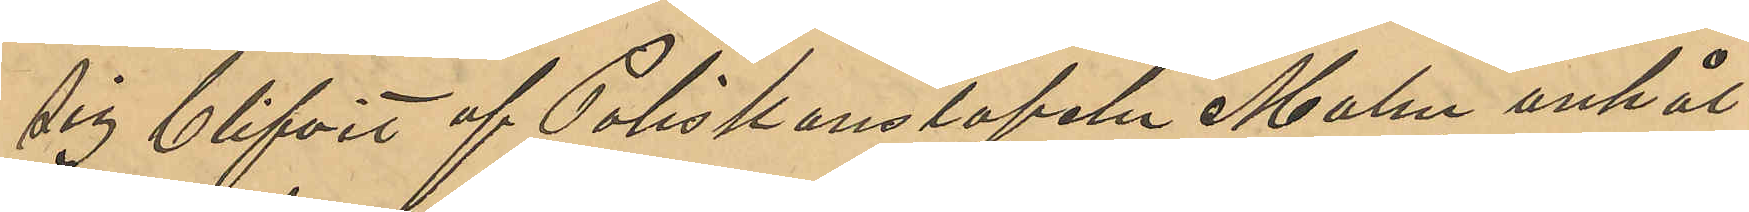sig blifvit af Poliskonstapeln Malm anhål¬
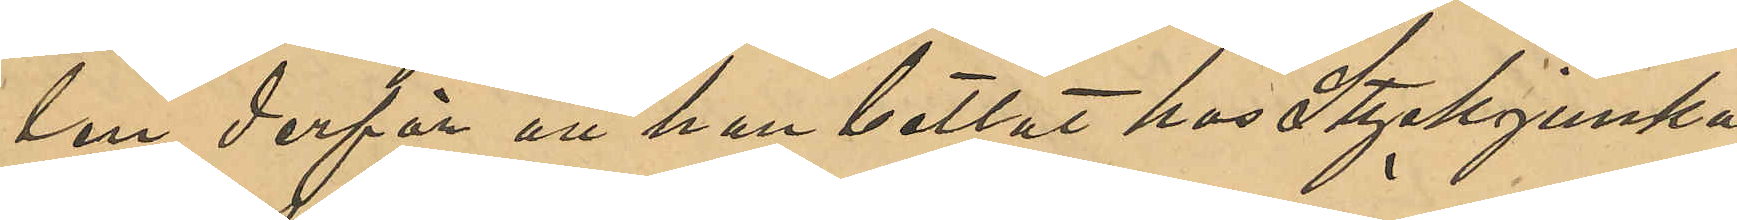len derför att han bettlat hos Styckjunka¬
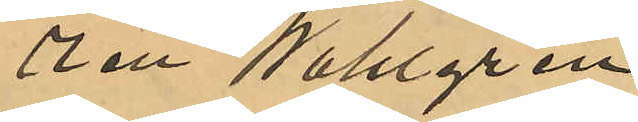ren Wahlgren.
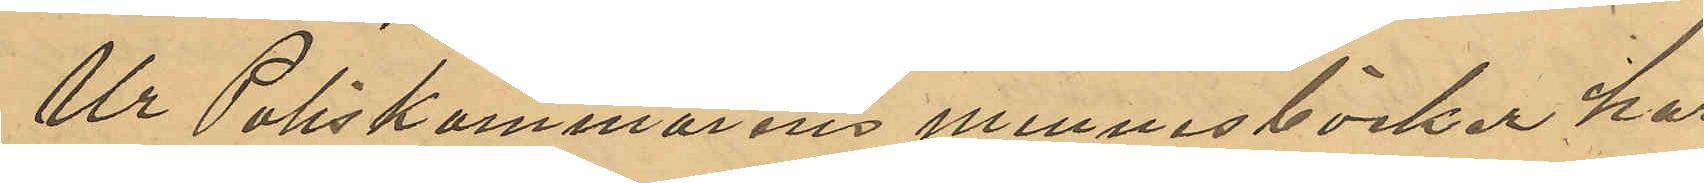Ur Poliskammarens minnesböcker har
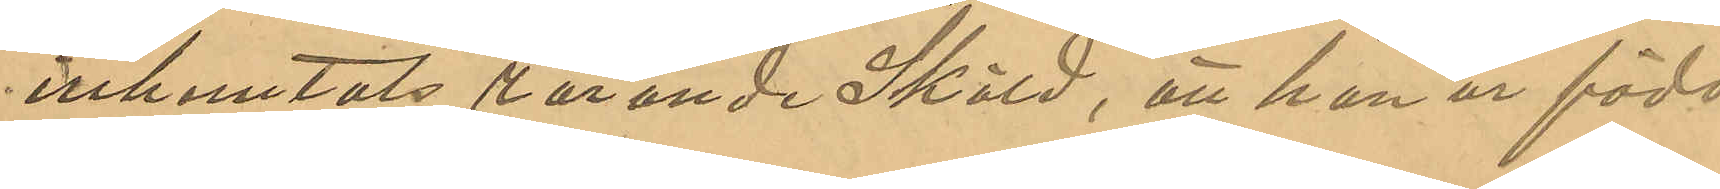inhemtats rörande Sköld, att han är född
